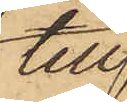till
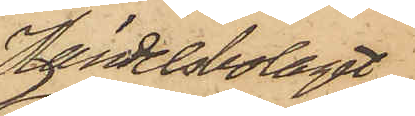Handelsbolaget
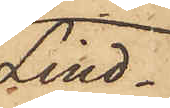Lind¬
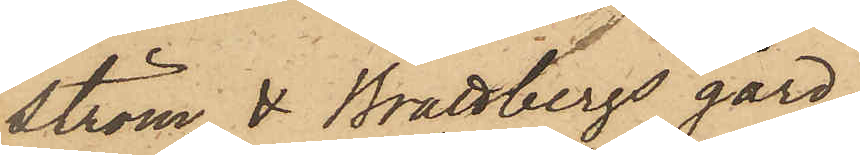ström & Brattbergs gård
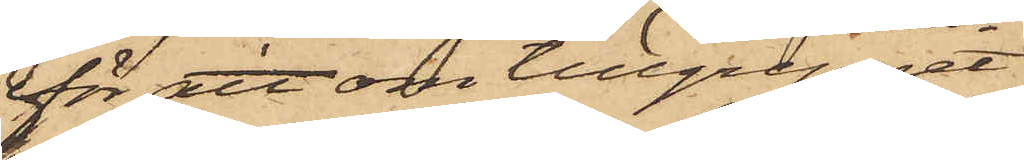för att om tillgreppet
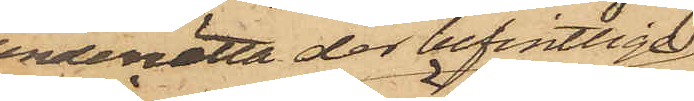underrätta der befintlige
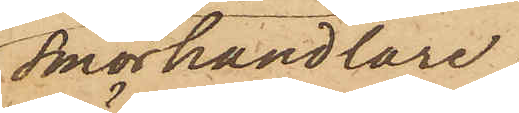Smörhandlare;
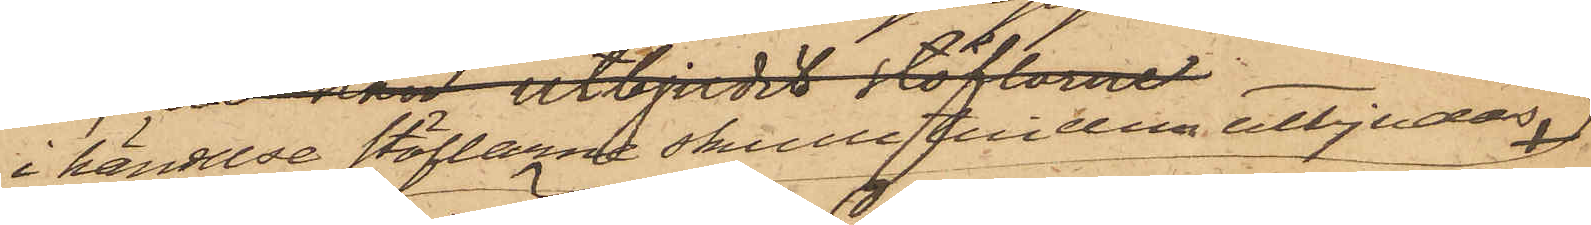i händelse stöflarne skulle till dem utbjudas
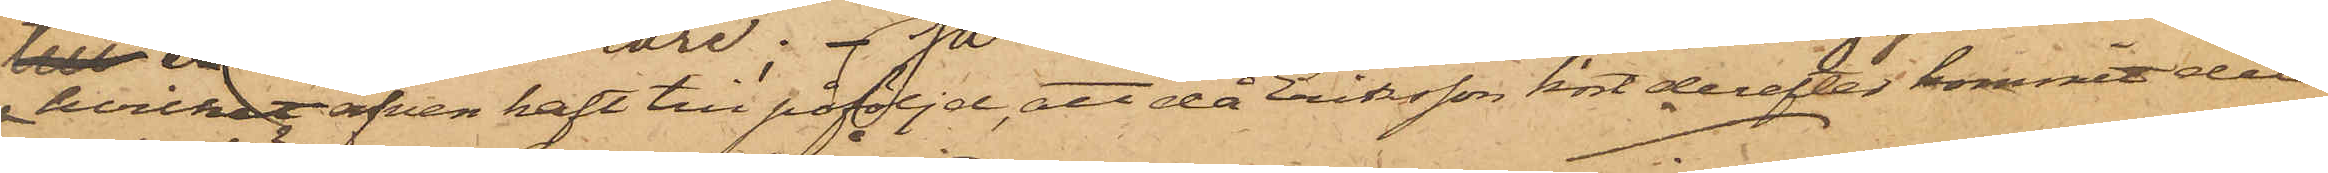hvilket äfven haft till påföljd, att då Eriksson kort derefter kommit dit
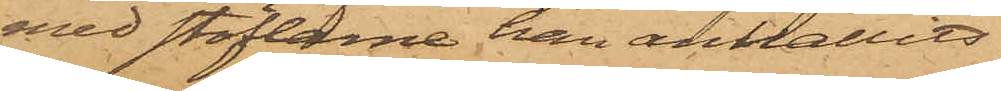med stöflarne han anhållits.
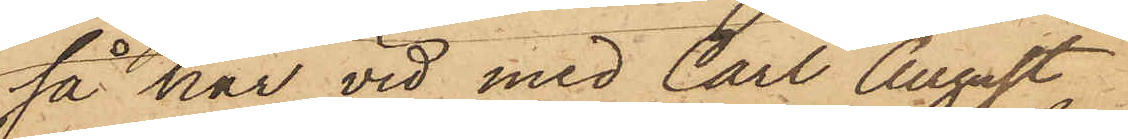Så har vid med Carl August
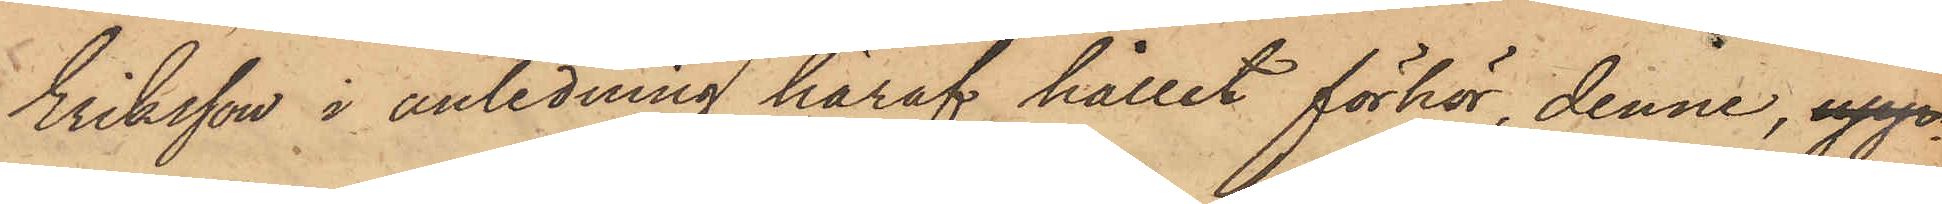Eriksson i anledning häraf hållit förhör, denne, upp¬
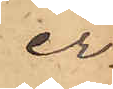er¬
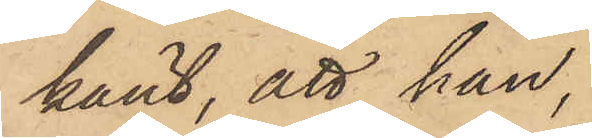känt, att han,
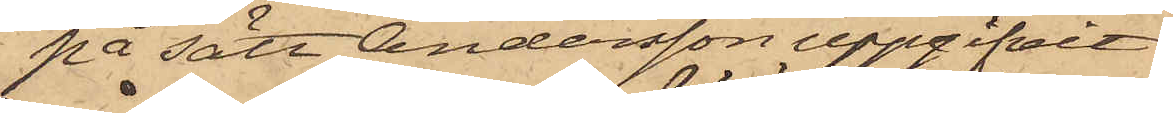på sätt Andersson uppgifvit
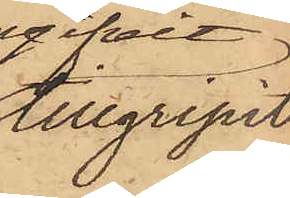tillgripit
